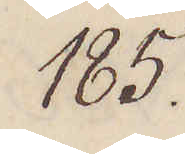185.
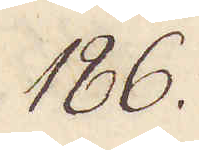186.
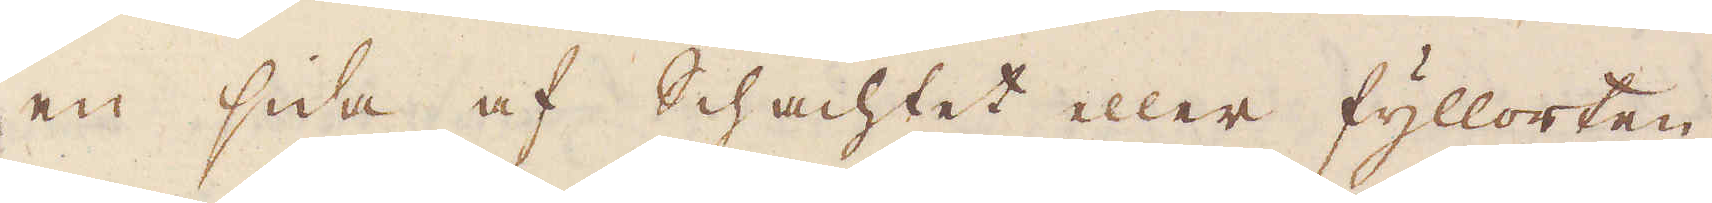en sida af schachtet eller fyllorten,
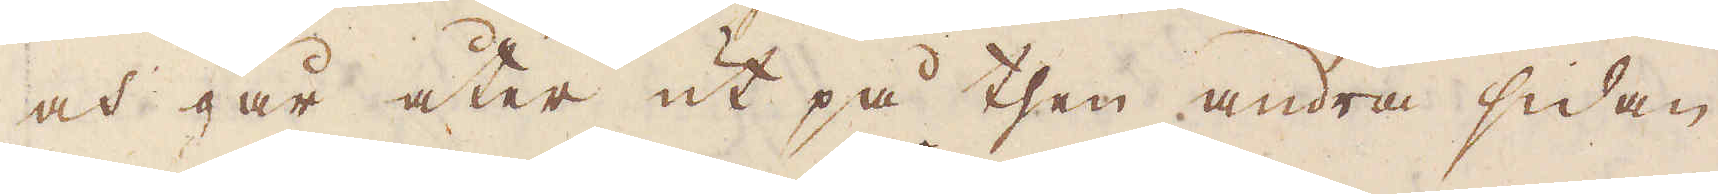och går åter ut på then andra sidan
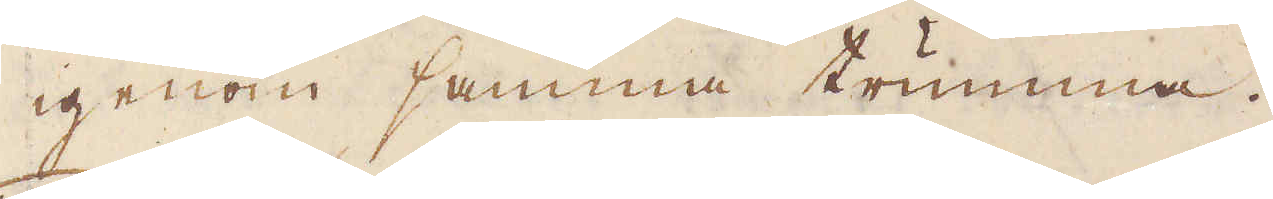igenom samma trumma.
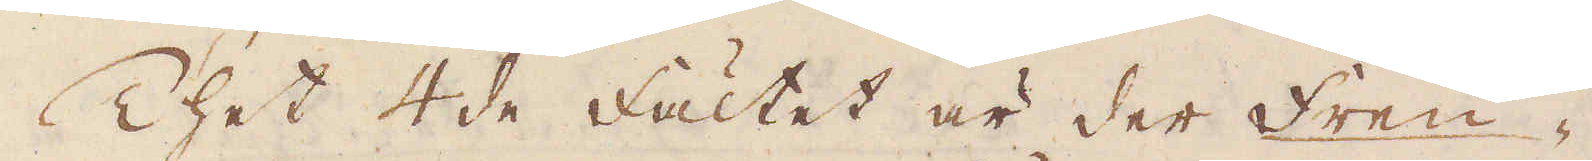Thet 4de fältet är der Freu-
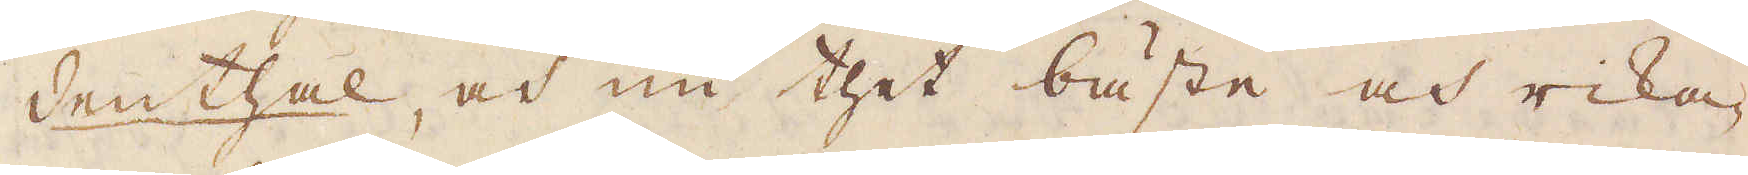denthal, och nu thet bäste och rika-
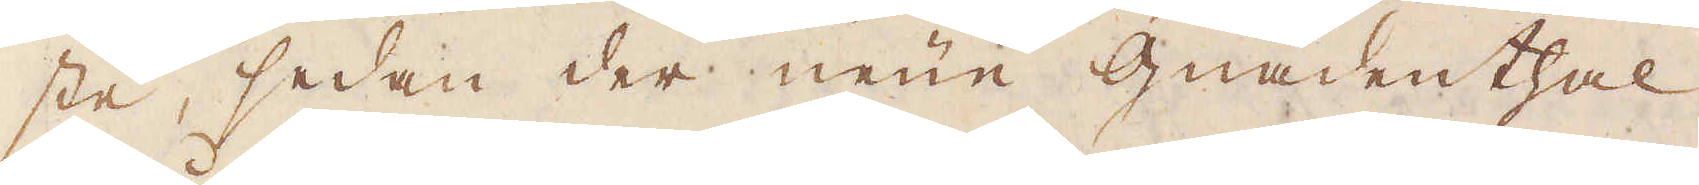ste, sedan der neun Gnadenthal
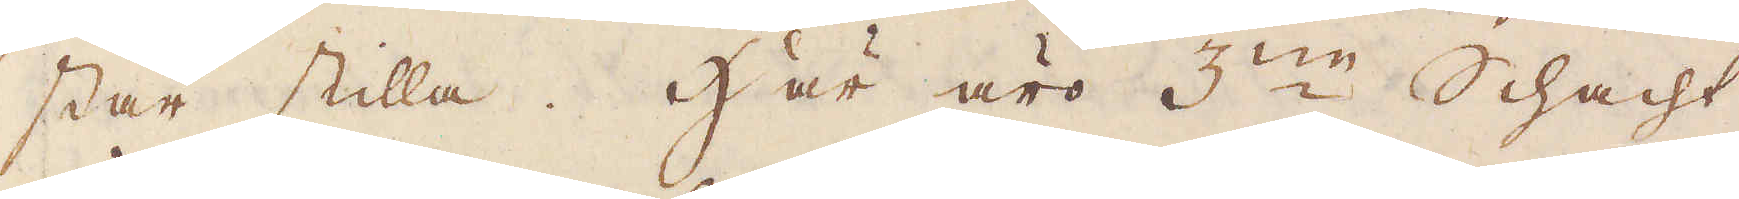står stilla. Här äro 3:ne Schacht
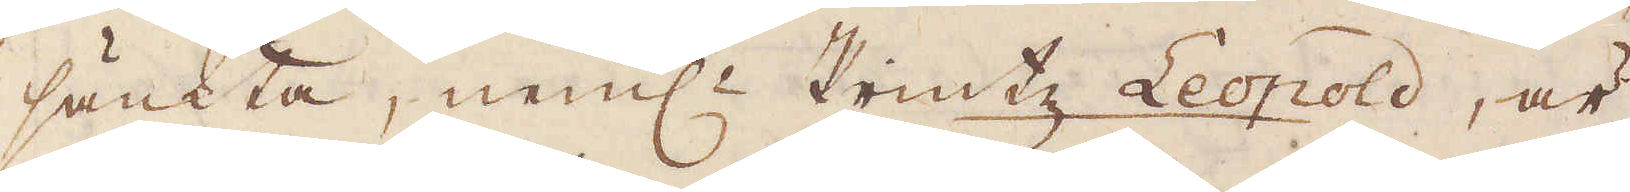sänkta, neml:n Printz Leopold, är
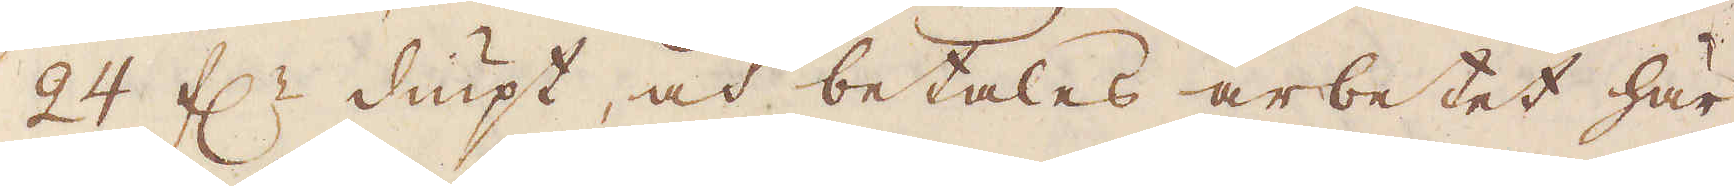24 f:r diupt, och betalas arbetet här
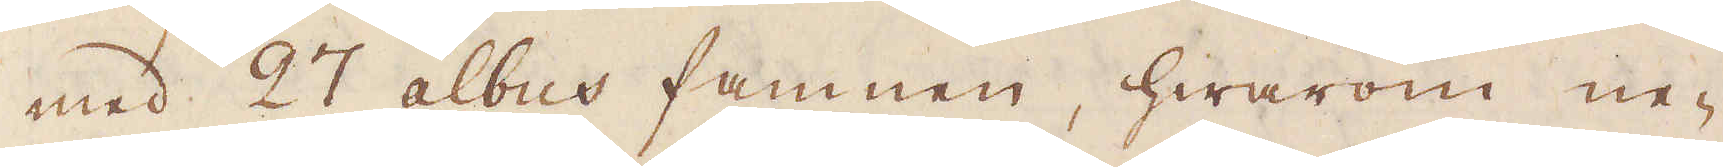med 27 albus famnen, hwarom ne-
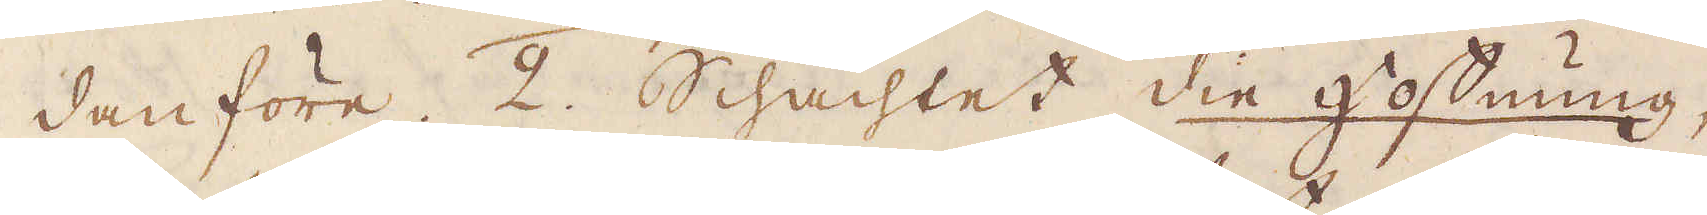danföre. 2. Schachtet die hoffnung,
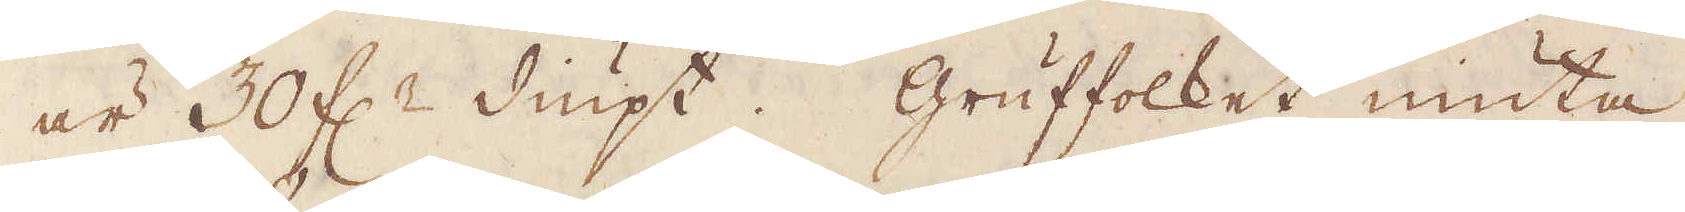är 30 f:r diupt. Gruffolket niuta
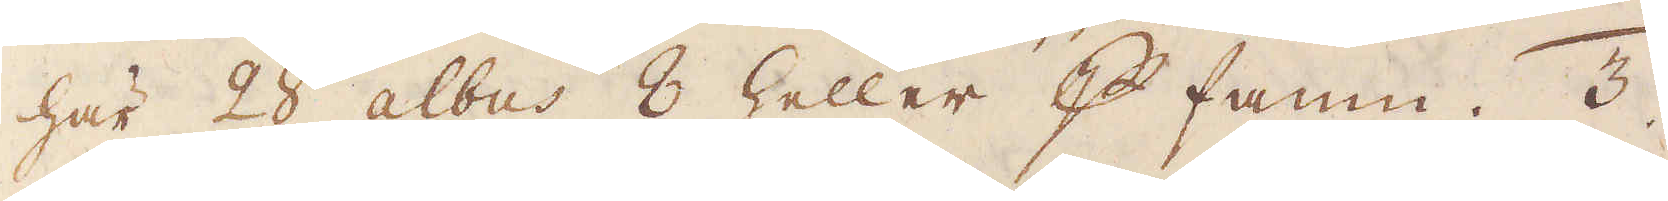här 28 albus 8 heller p famn. 3.
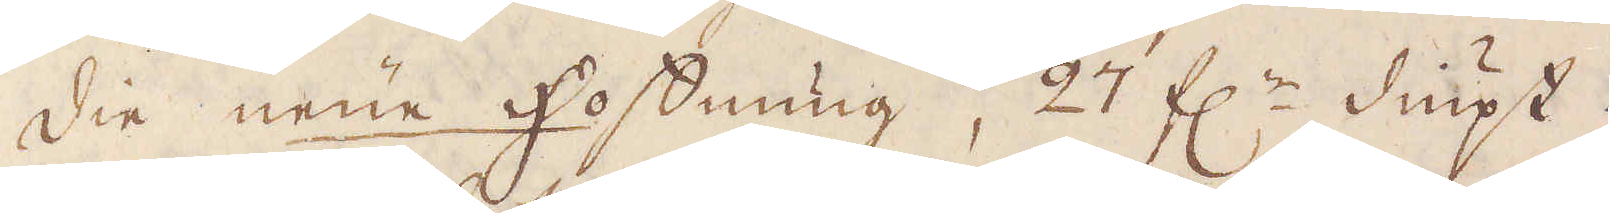die neue hoffnung, 27 f:r diupt.
